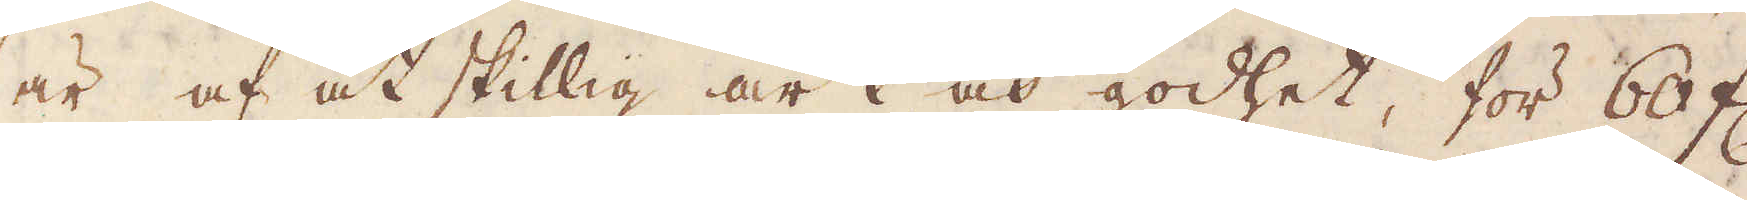är af åtskillig art och godhet, för 60 fl.
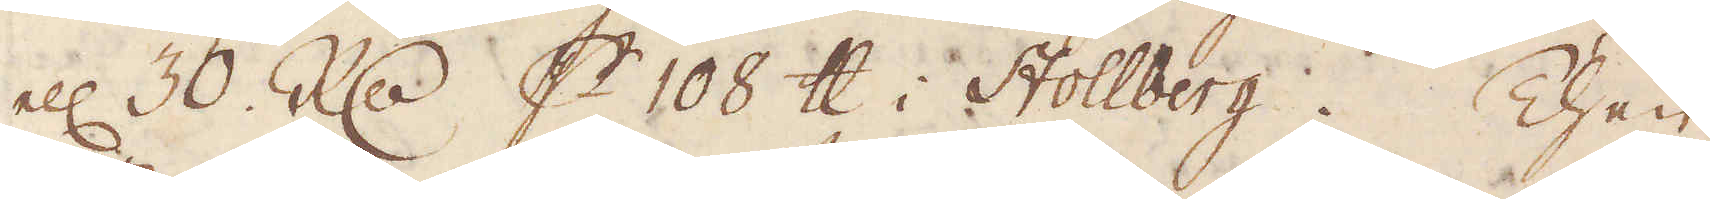ell: 30 R:dr p 108 skålpund i Stollberg. Then
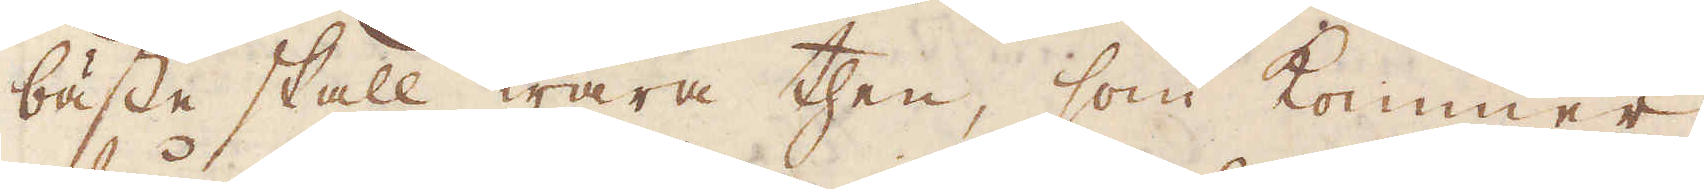bäste skall wara then, som kommer
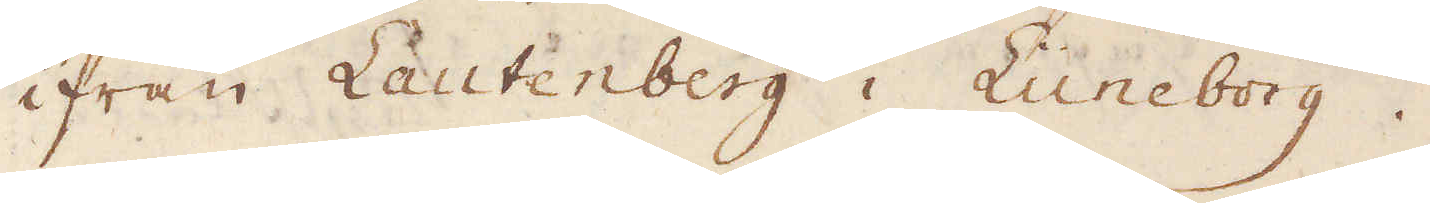ifrån Lautenberg i Luneborg.
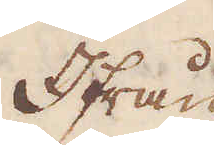Ifrån
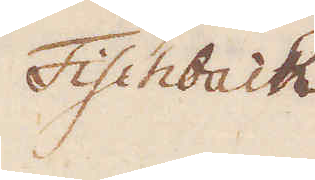Fischbach
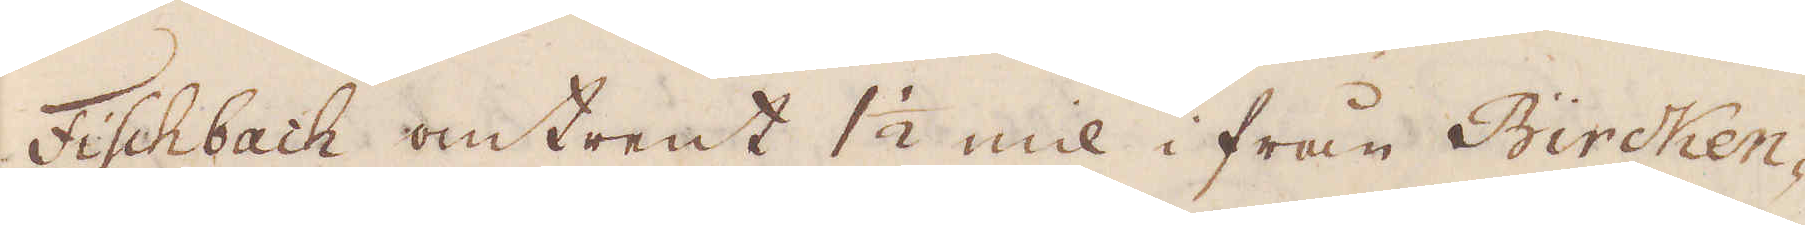Fischbach omtrent 1 1/2 mil i från Bircken-
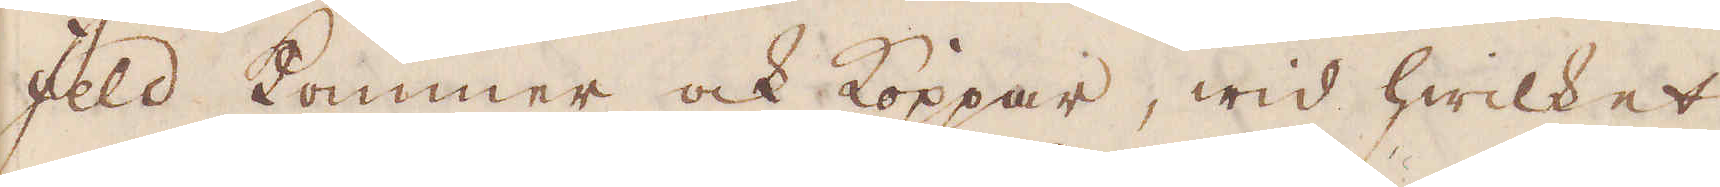feld kommer ock Koppar, wid hwilket
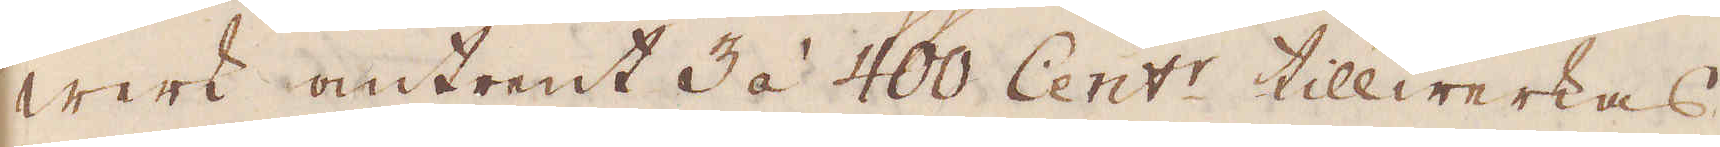werk omtrent 3 à 400 Cent:r tillwerkas
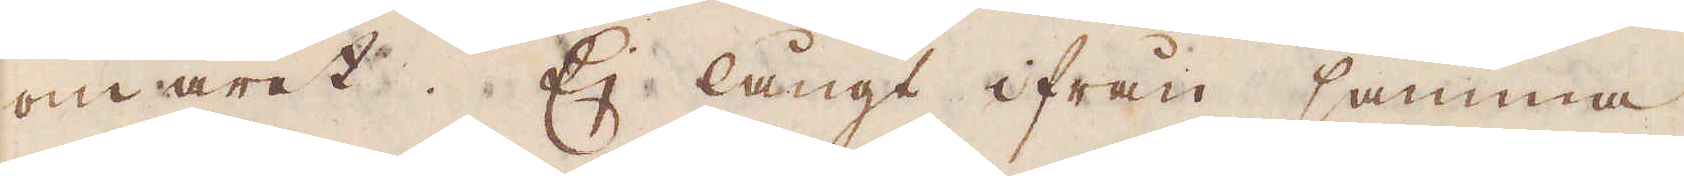om året. Ej långt ifrån samma
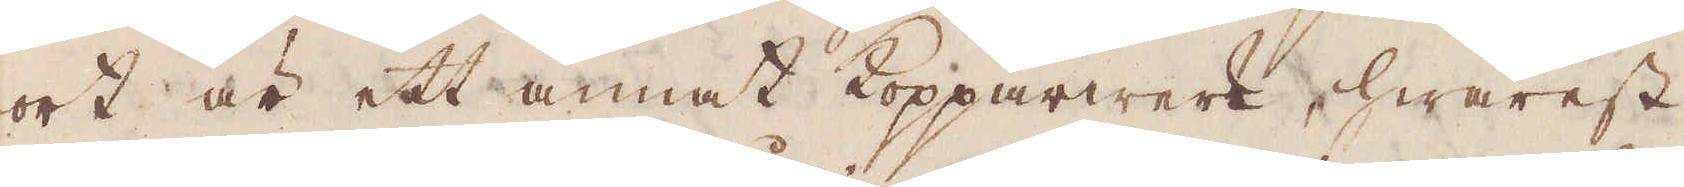ort är ett annat Kopparwerk, hwarest
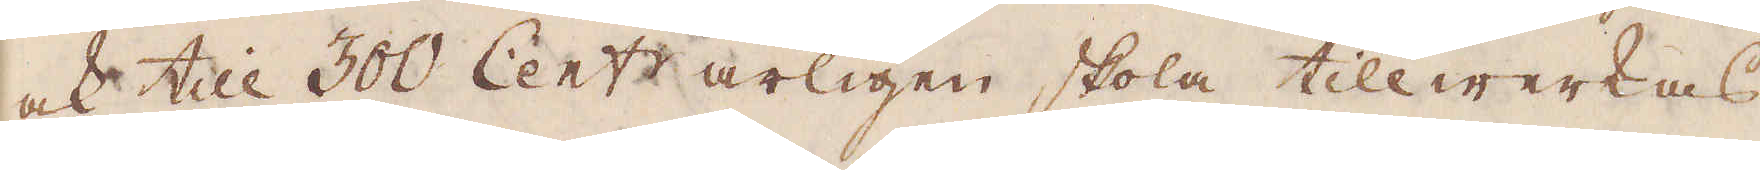ock till 300 Cent:r årligen skola tillwerkas.
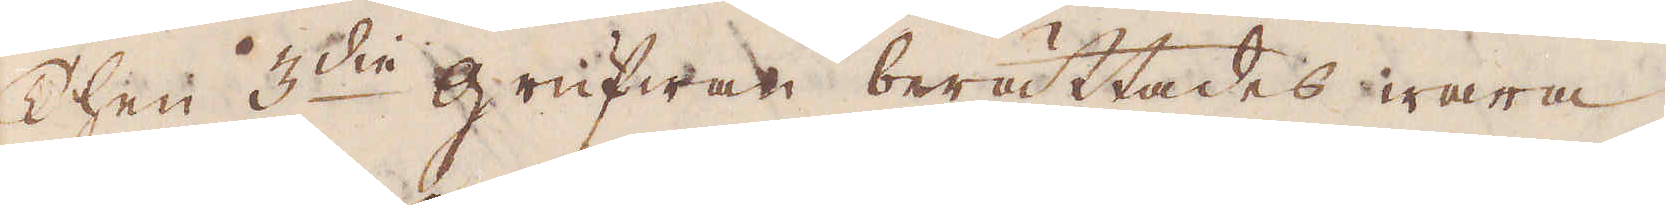Then 3:die grufwan berättades wara
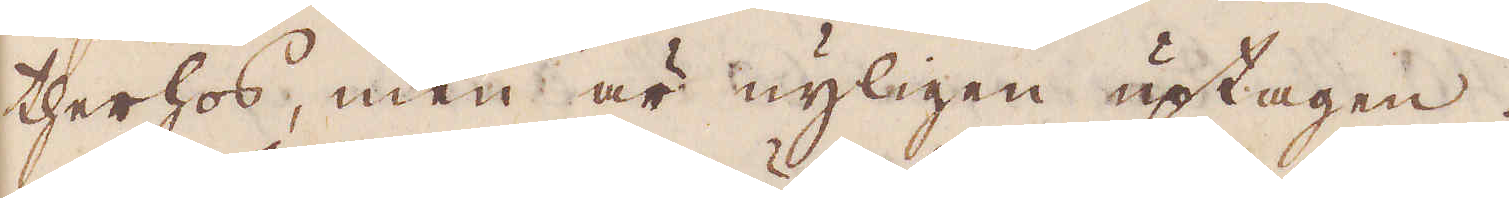therhos, men är nyligen uptagen.
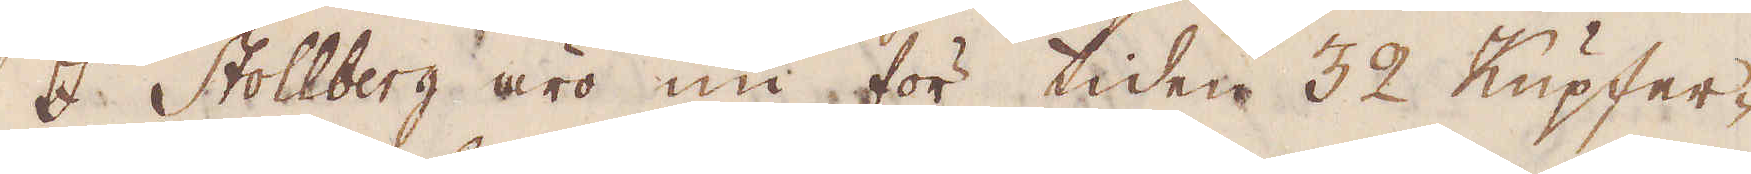I Stollberg äro nu för tiden 32 Kupfer-
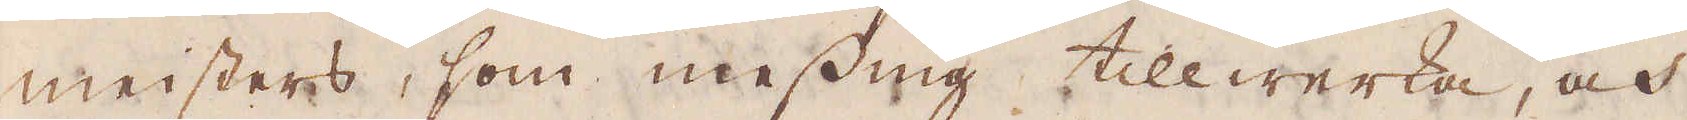meisters, som messing tillwerka, och
